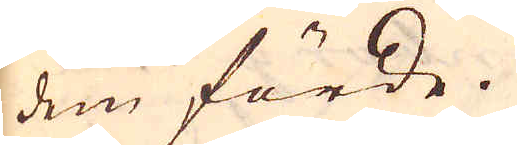dem förde.
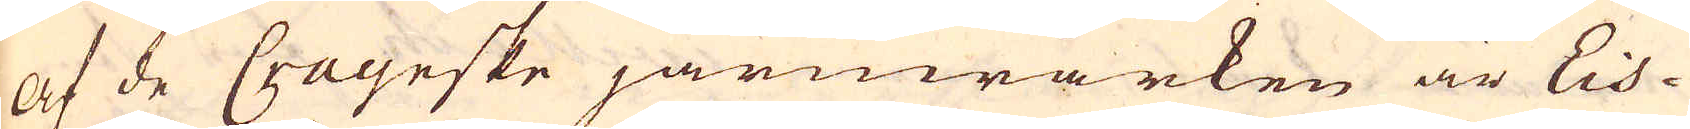Af de Crayeske järnwärken är Eis-
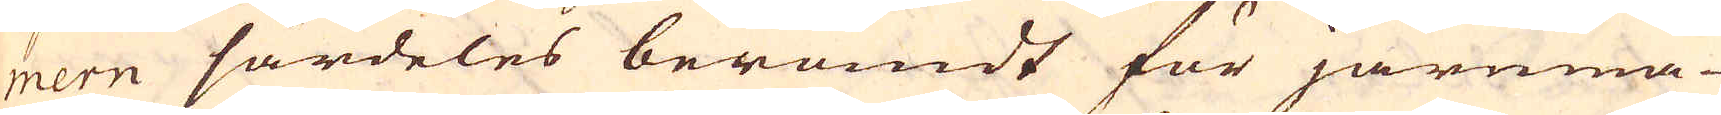mern särdeles berömdt för järnma-
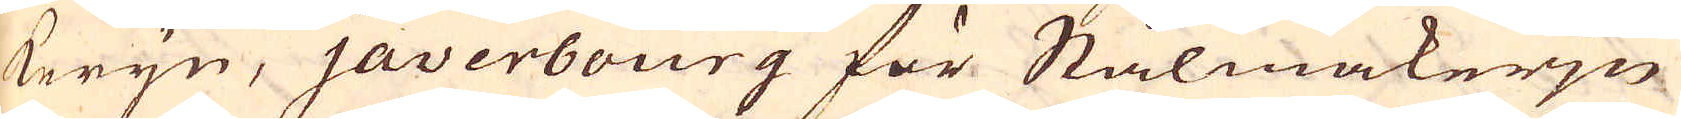kerijn, javerbourg för Stålmakerjn
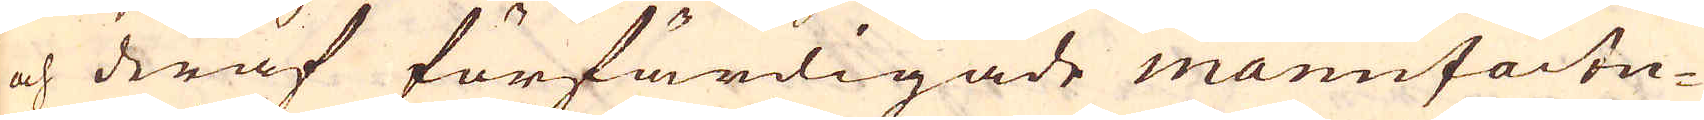och deraf förfärdigade manufactu-
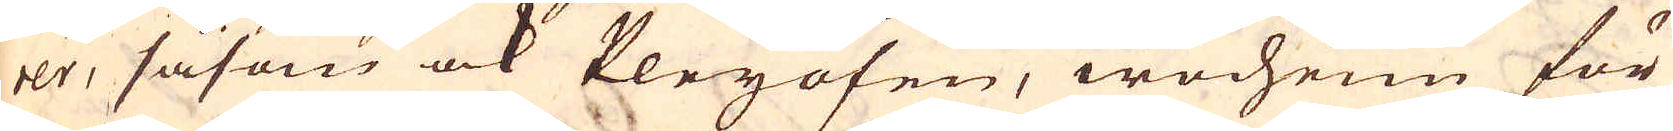rer, såsom ock Pleyöfen, wocheim för
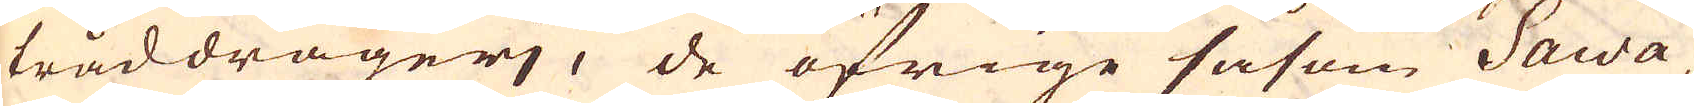tråddragerj, de öfrige såsom Sawa,
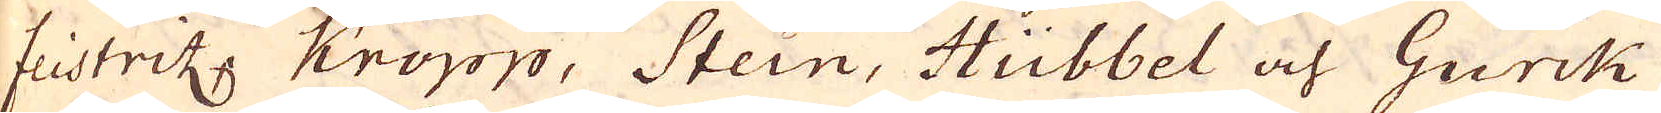fiistritz Kropp, Stein, Hübbel och Gurck
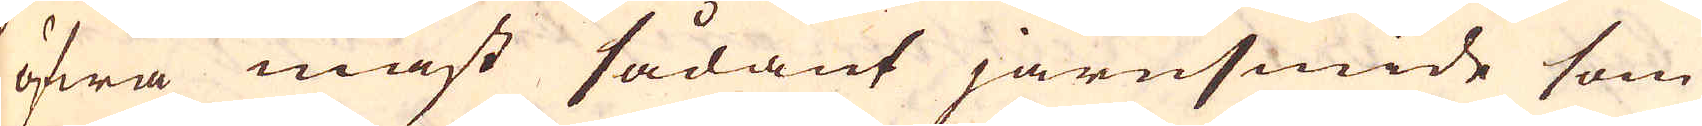öfwa mäst sådant järnsmide som
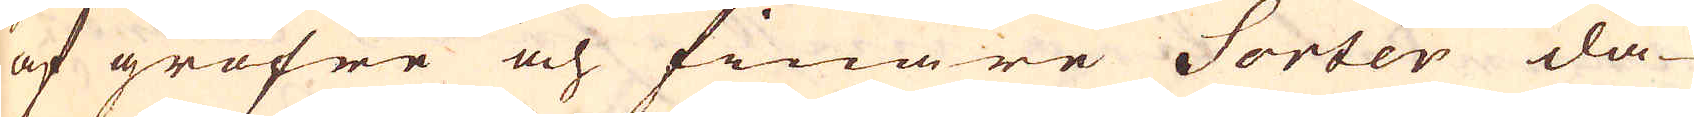af gröfre och finare Sorter da-
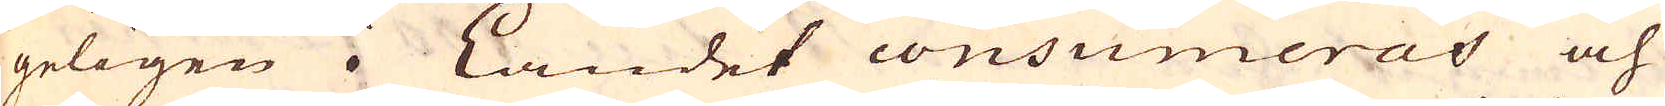geligen i Landet consumeras och
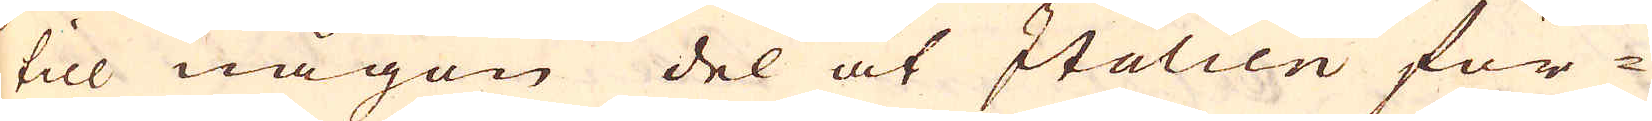till någon del åt Italien för-
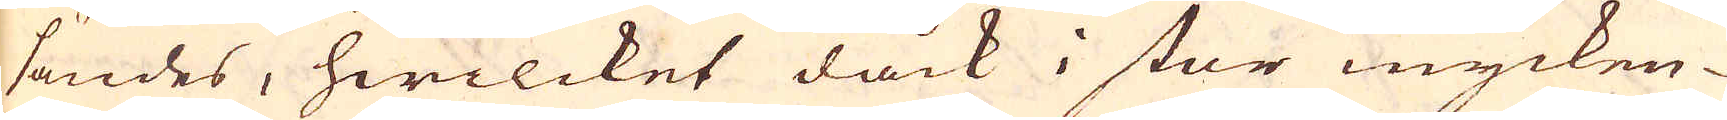sändes, hwilcket dåck i stor mycken-
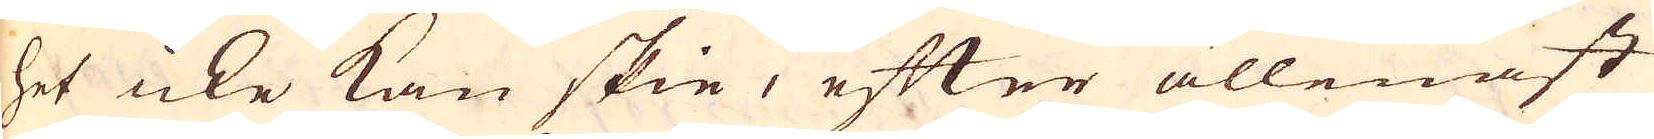het icke kan skie, efter allenast
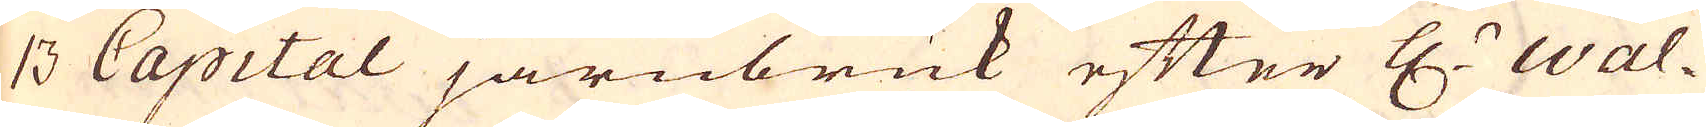13 Capital järnbruk efter H:r Wal-
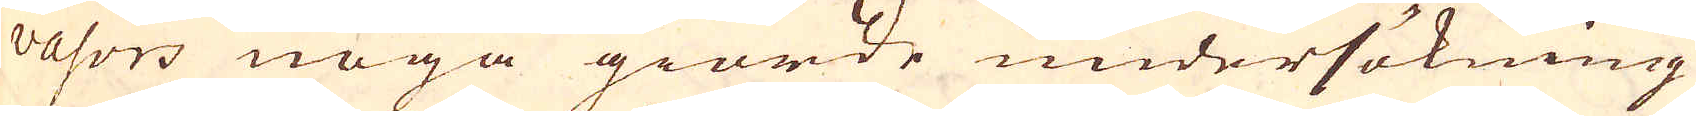vasors noga giorde undersökning
